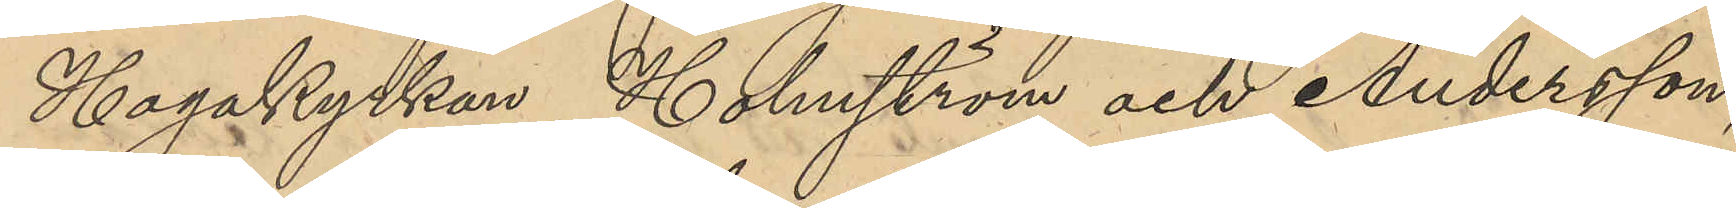Hagakyrkan, Holmström och Andersson,
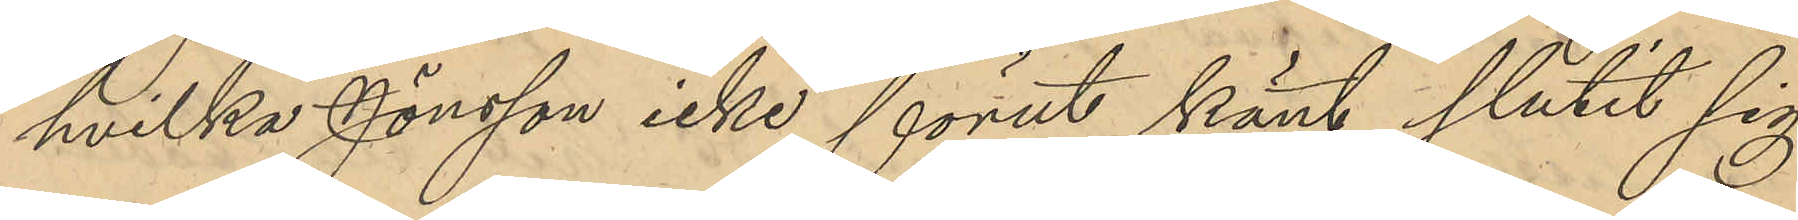hvilka Jönsson icke förut känt slutit sig
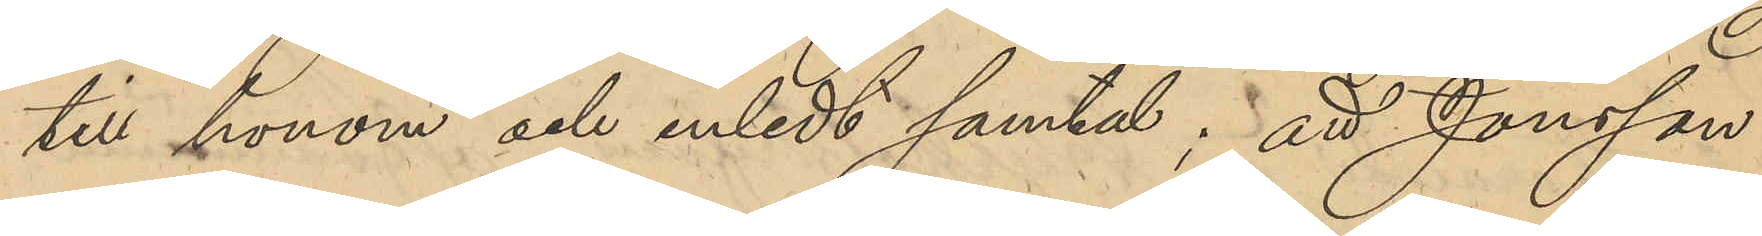till honom och inledt samtal; att Jonsson
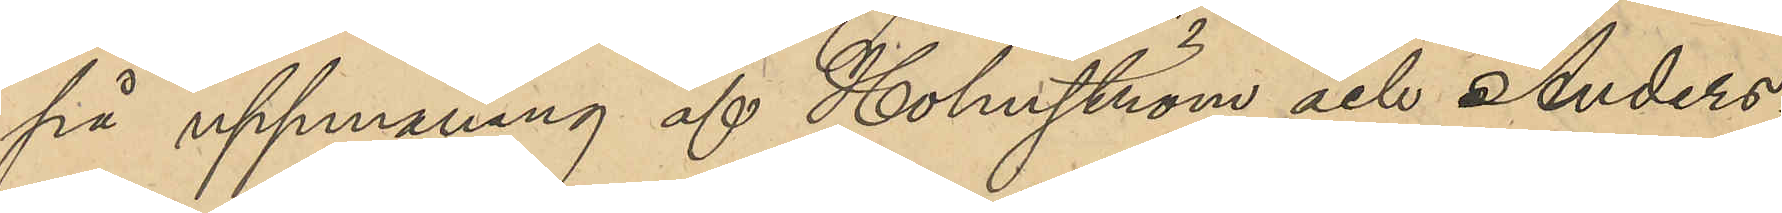på uppmaning af Holmström och Anders¬
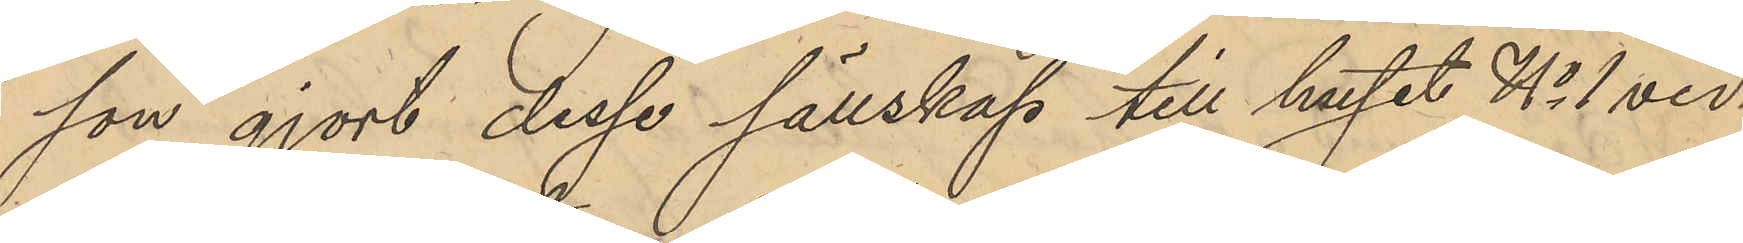son gjort dessa sällskap till huset No 1 vid
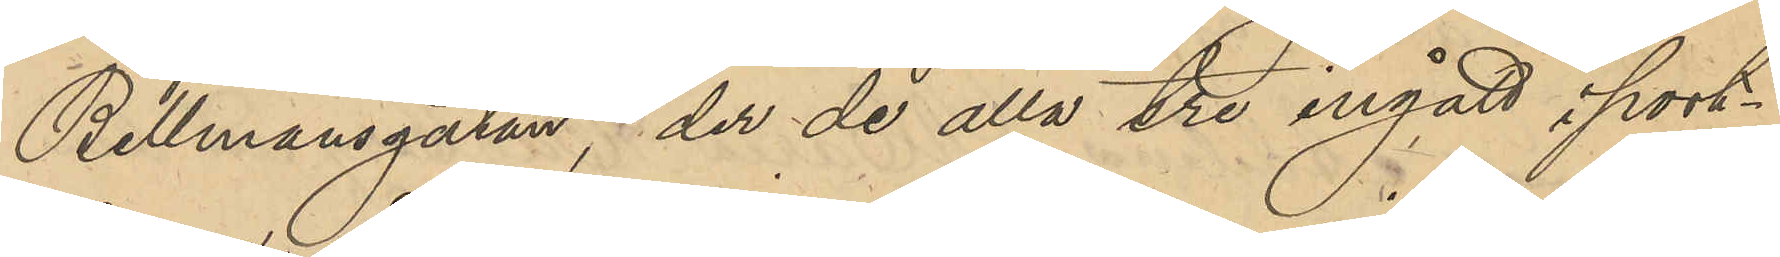Bellmansgatan, der de alla tre ingått i port¬
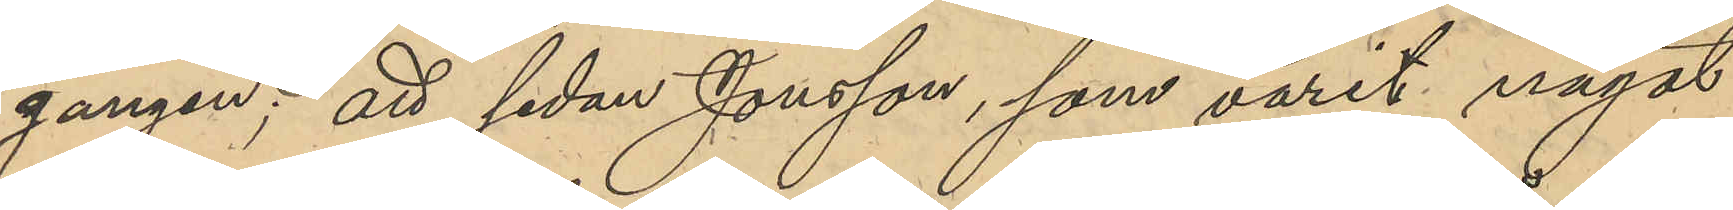gången; att sedan Jonsson, som varit något
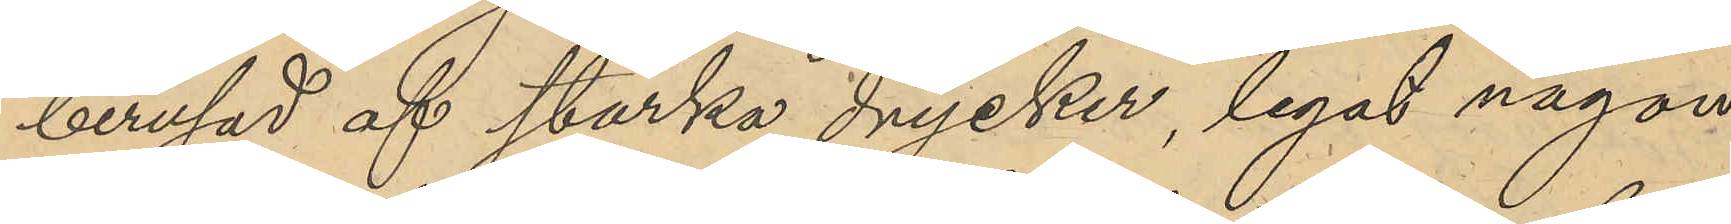berusad af starka drycker, legat någon
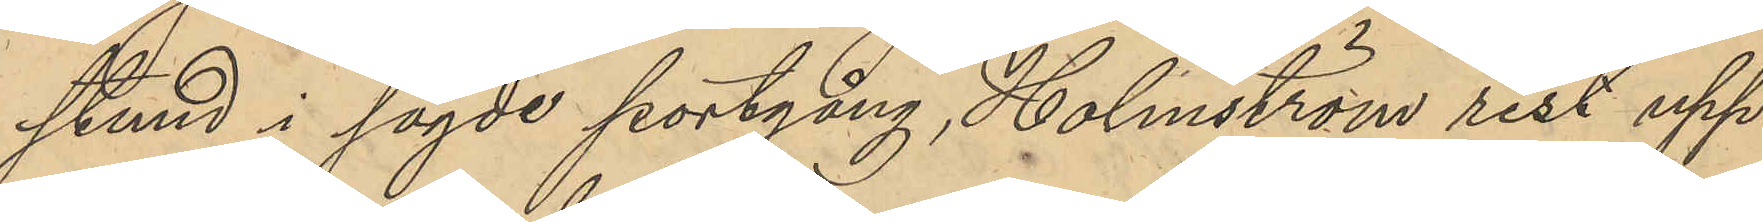stund i sagde portgång, Holmström rest upp
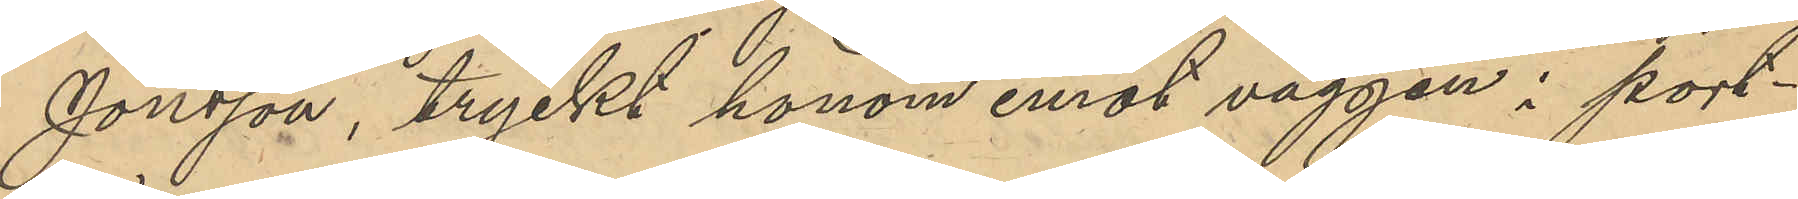Jonsson, tryckt honom mot väggen i port¬
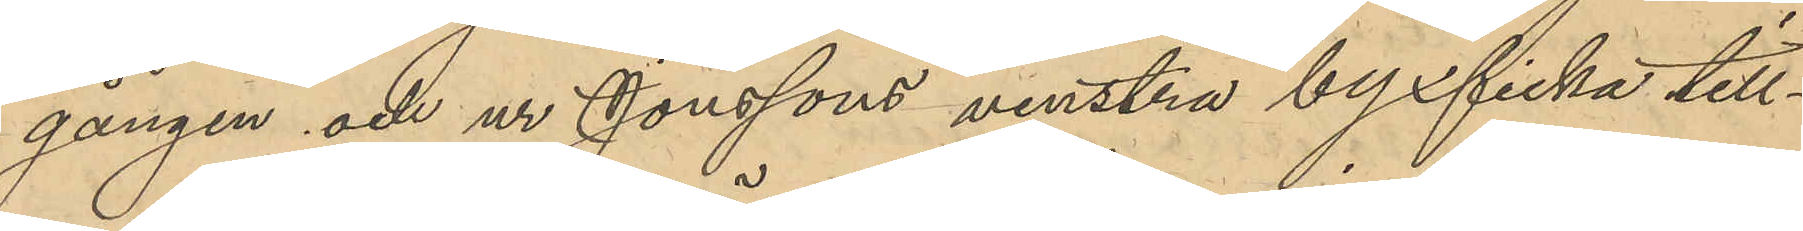gången och ur Jonssons venstra byxficka till¬
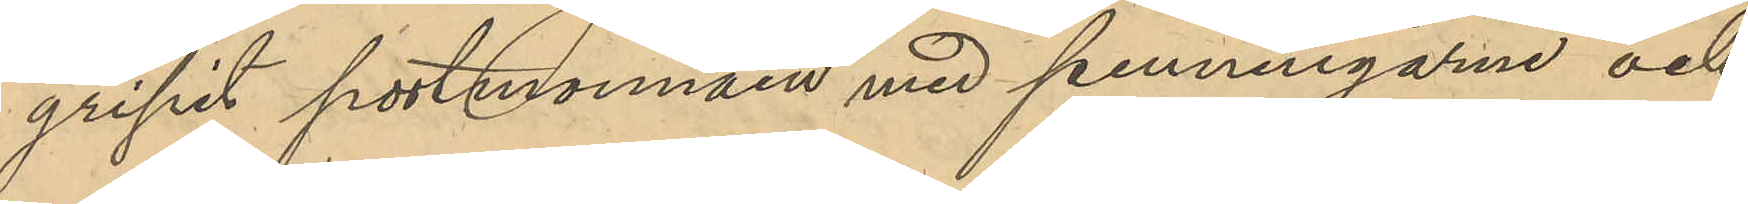gripit portmonnäen med penningarne och
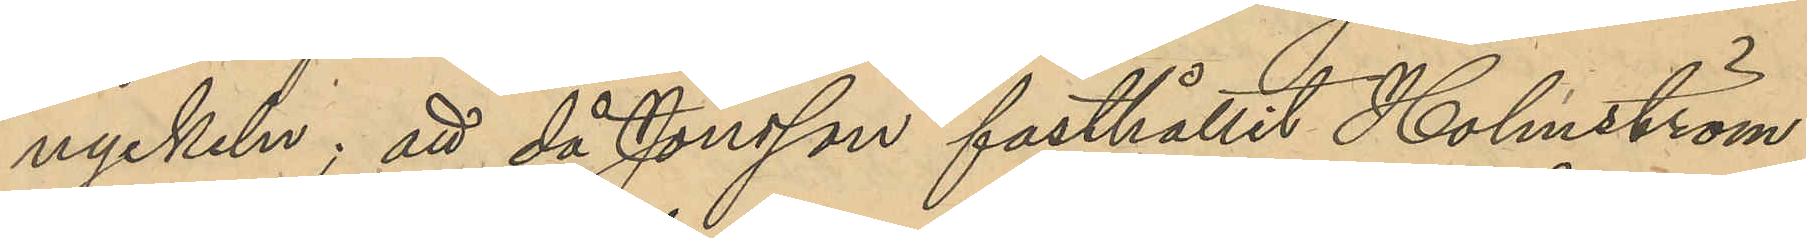nyckeln; att då Jonsson fasthållit Holmström
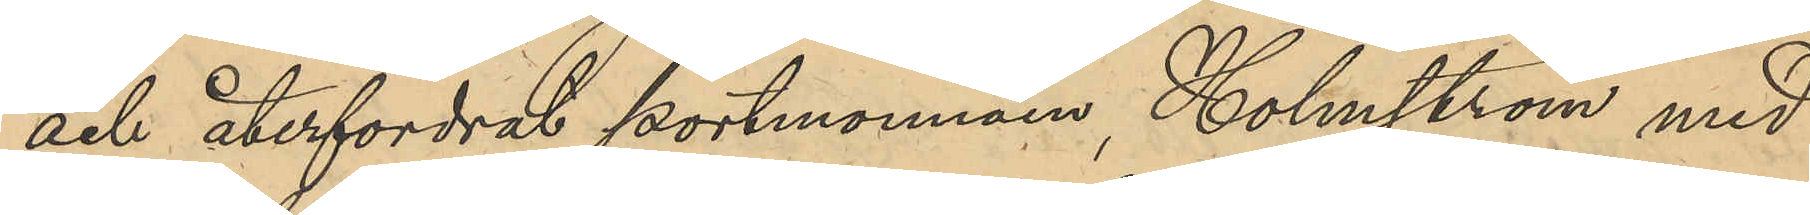och återfordrat portmonnäen, Holmström med
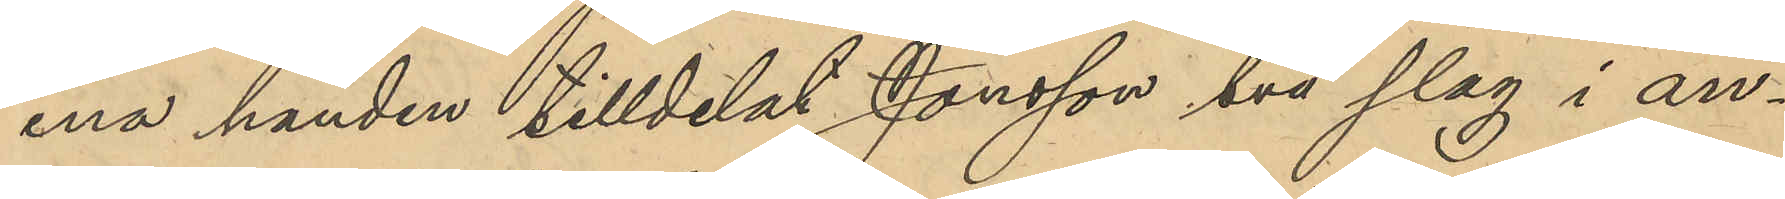ena handen tilldelat Jonsson två slag i an¬
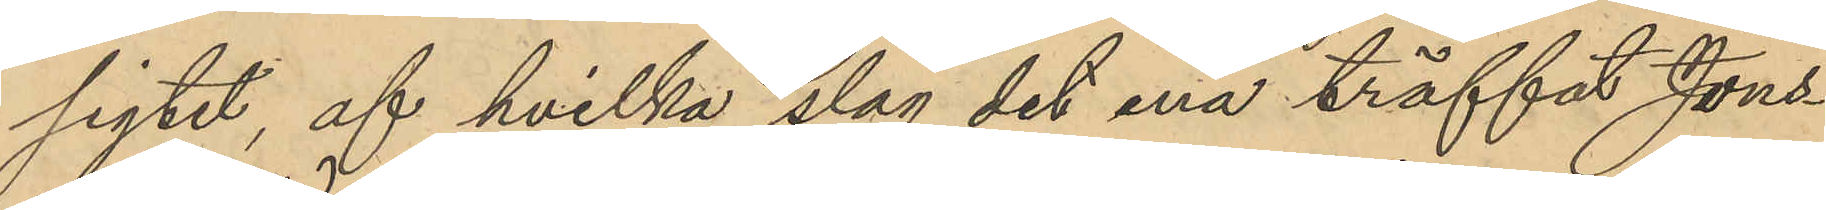sigtet, af hvilka slag det ena träffat Jons¬
